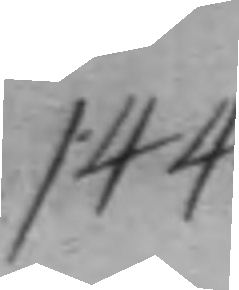144.
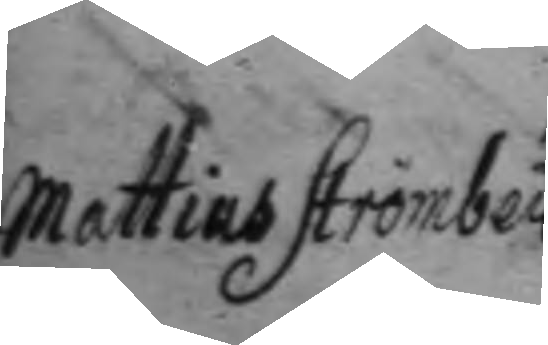Mattias Strömbeck
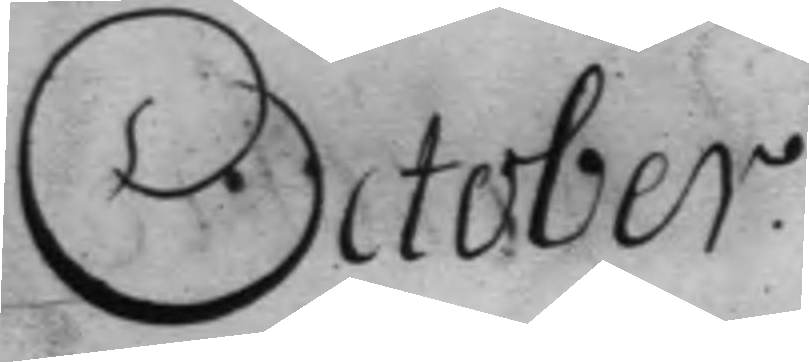October.
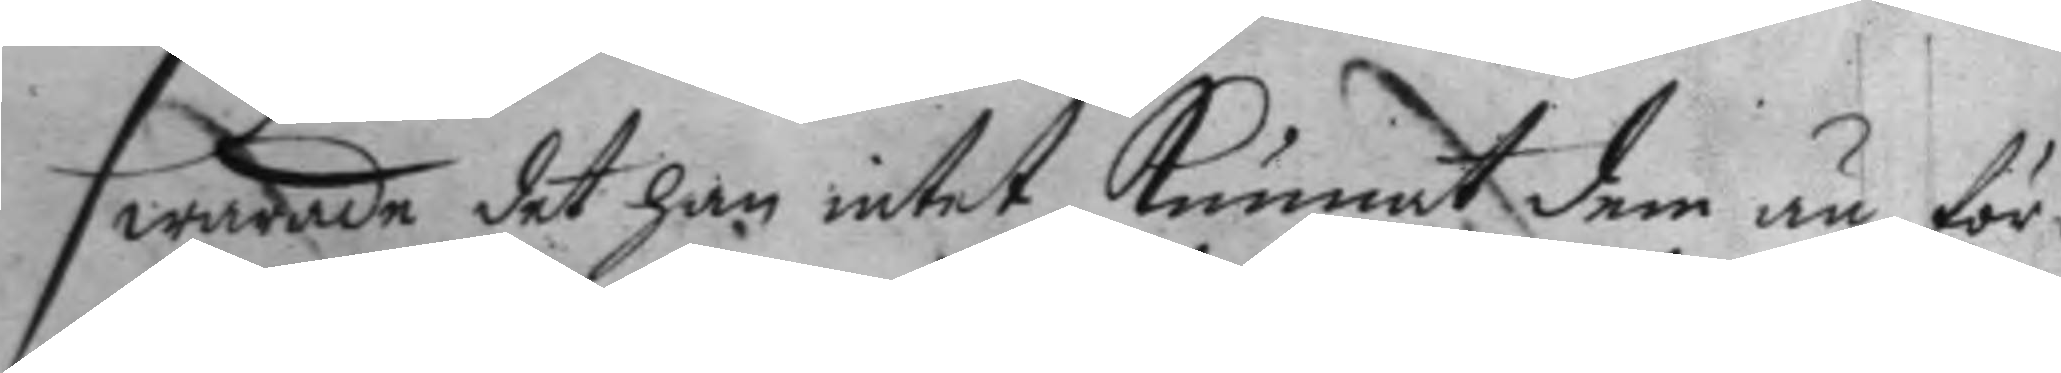swarade det han intet kunnat dem än för¬
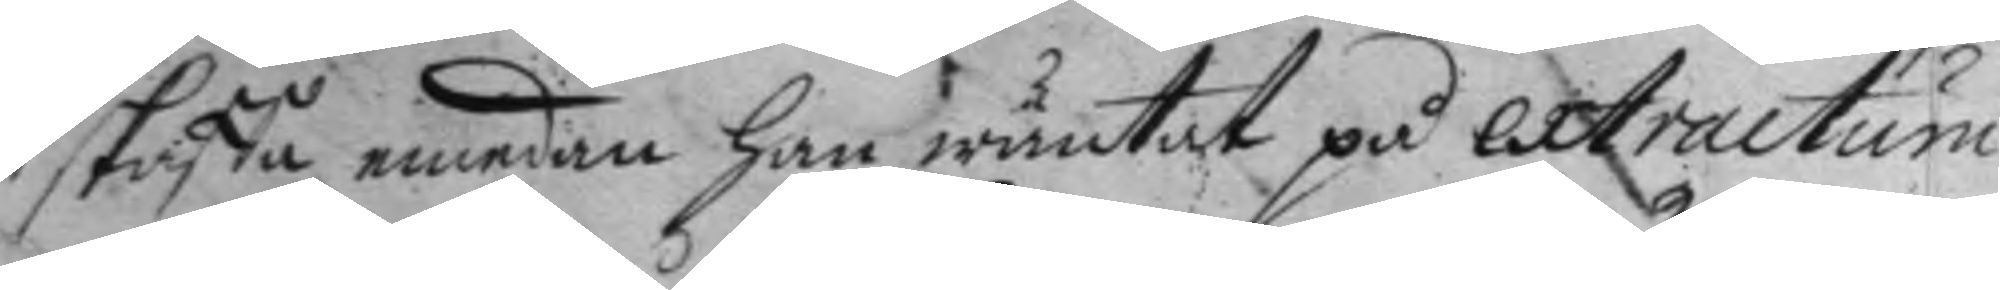skaffa emedan han wäntat på extractum
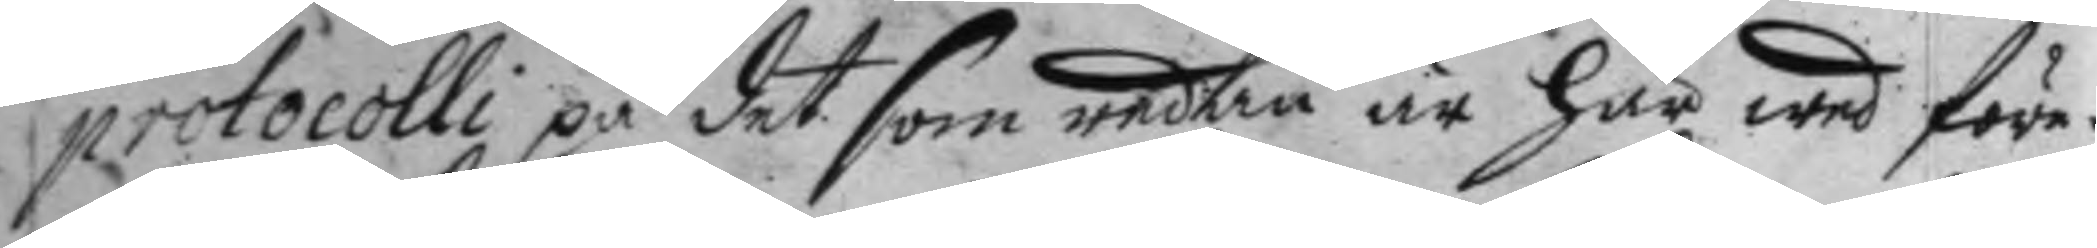protocolli på det som redan är här wed före¬
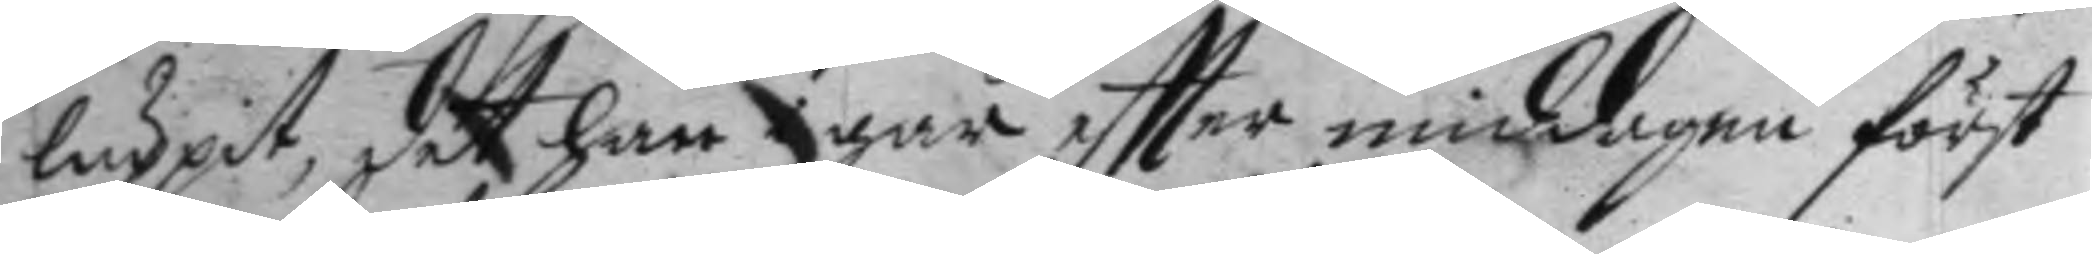luppit, det han igår eftter middagen först
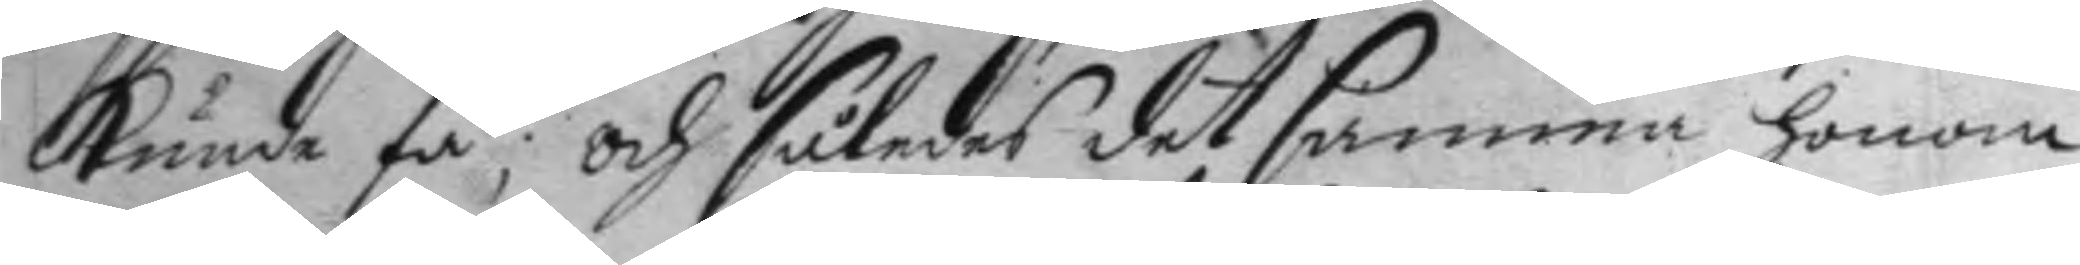kunde få; och således det samma honom
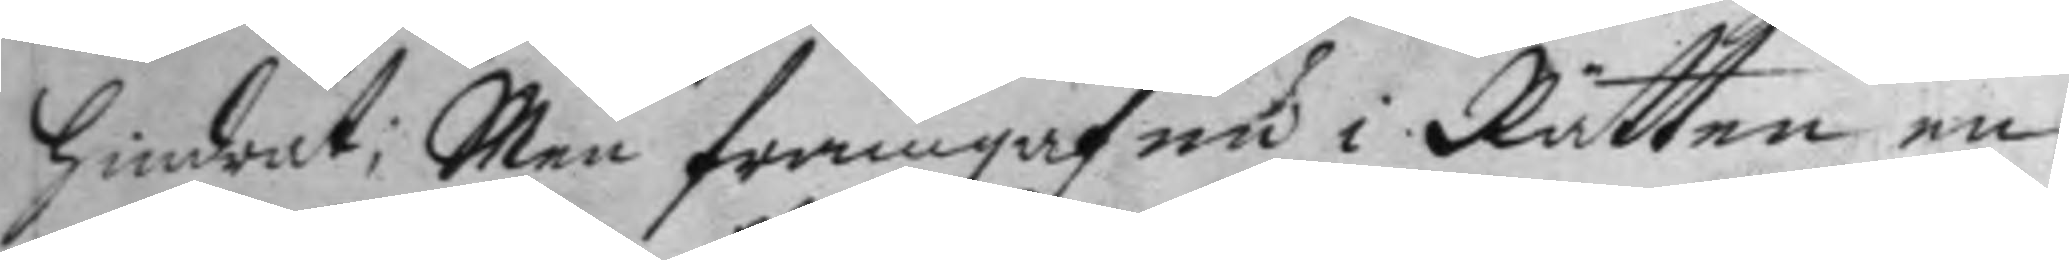hindrat; Men framgaf nu i Rätten en
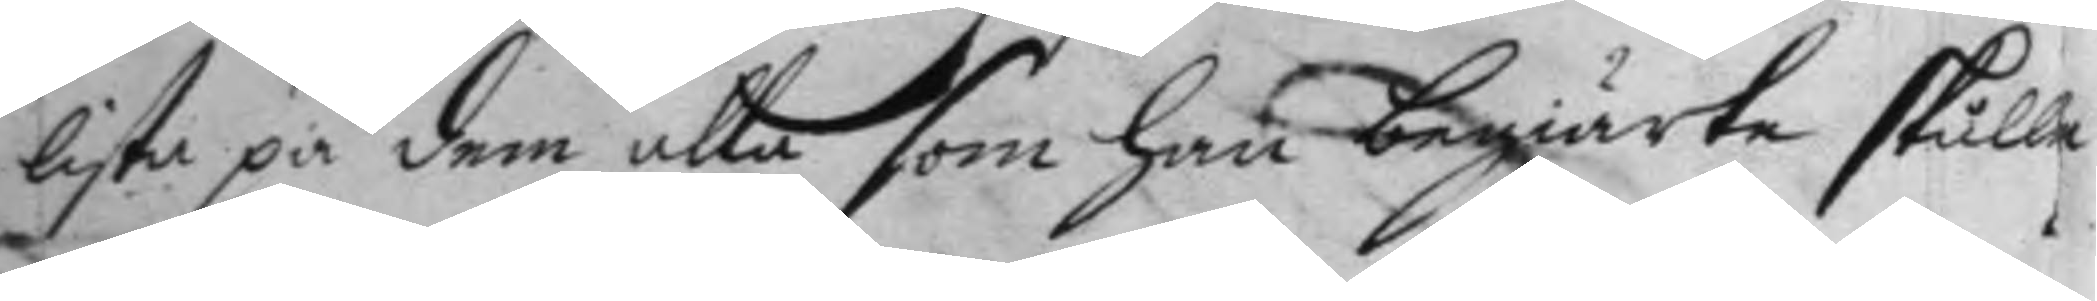lista på dem alla som han begiärte skulle
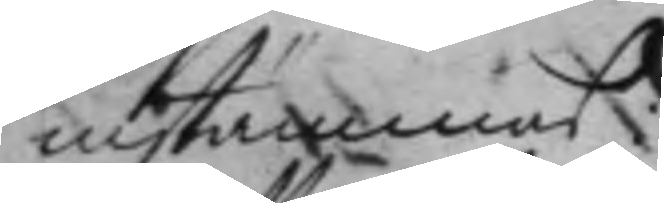instämmas:
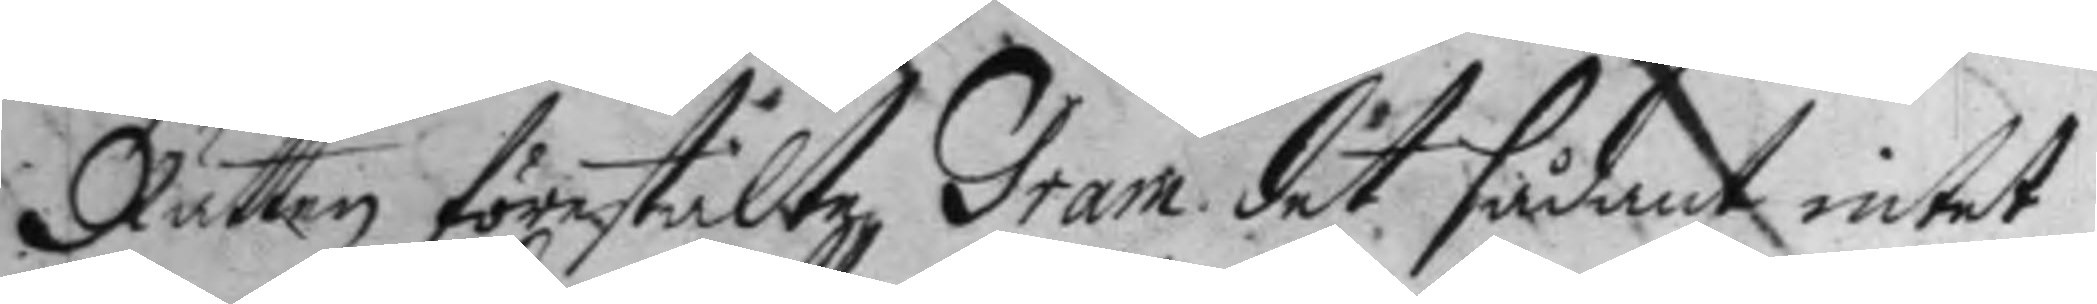Rätten förestälte Gram det sådant intet
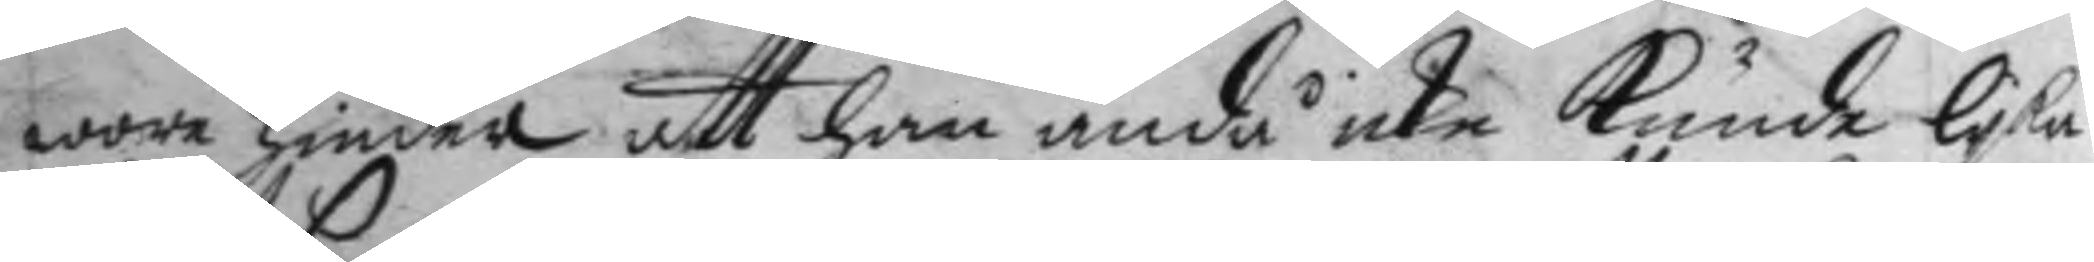wore hinder att han ändå icke Kunde lyka
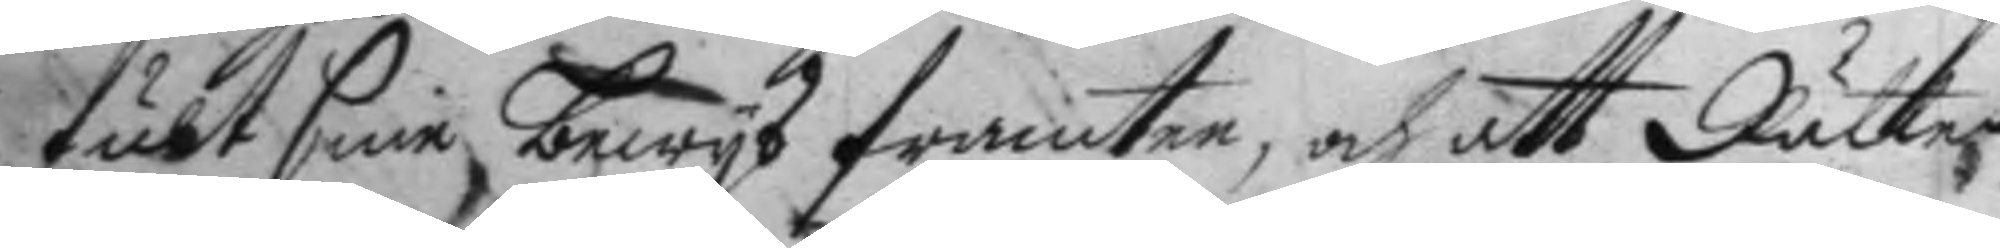fult sine bewys framtee, och att Rätten
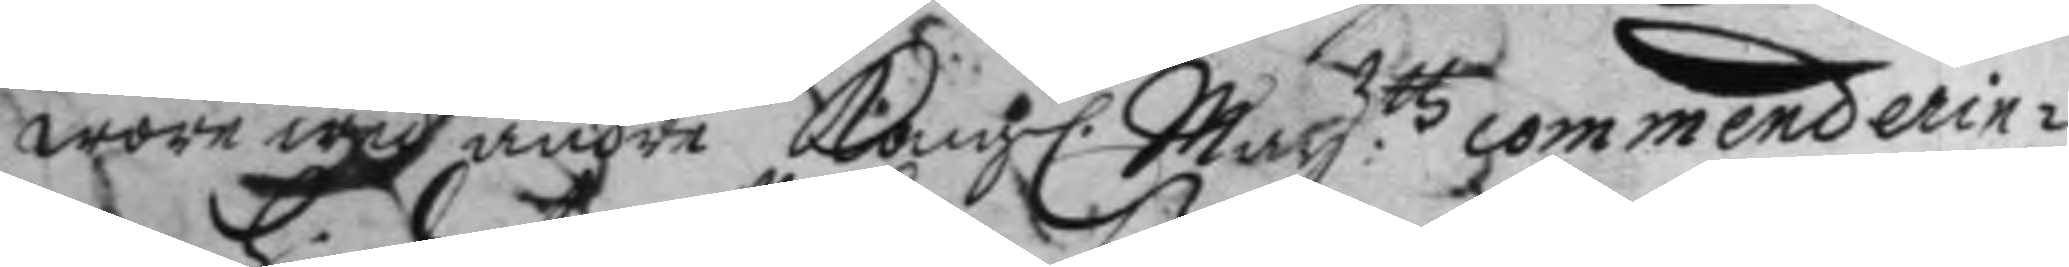wore wid andre Kongl. May:ttz Commenderin¬ 
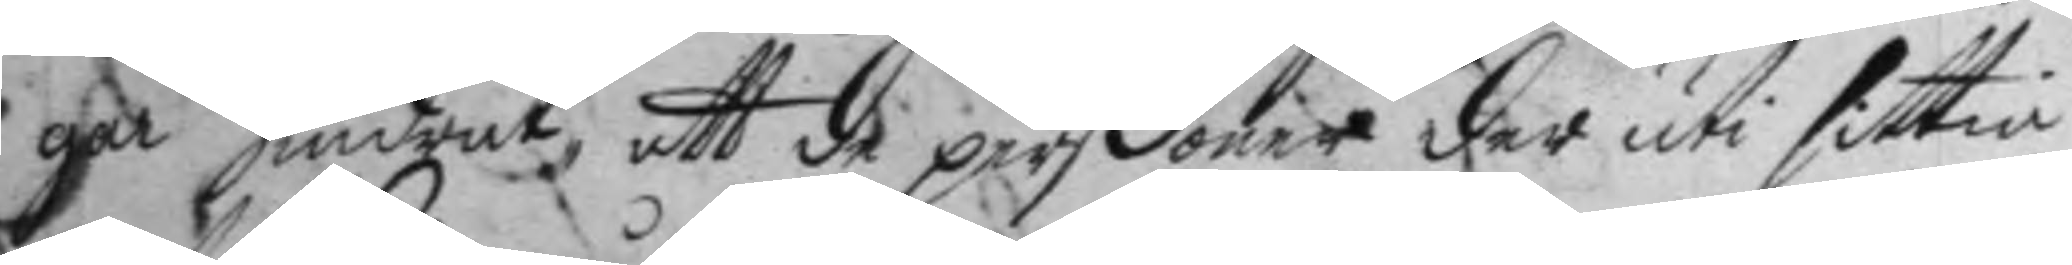gar hindrat att de perßoner der uti sittia
